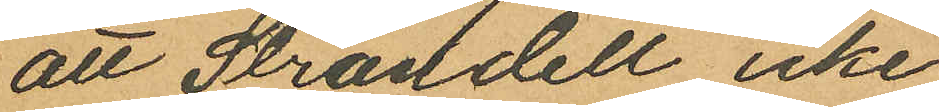att Strandell icke
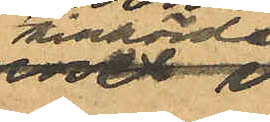tillhörde
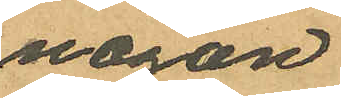någon
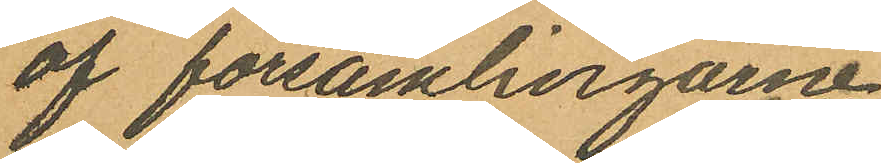af församlingarne
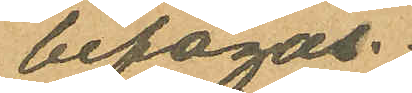bifogas.
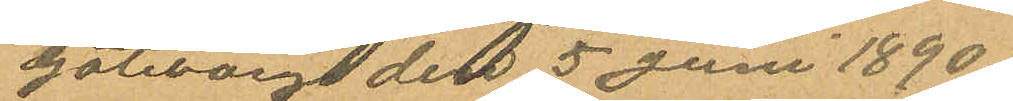Göteborg den 5 Juni 1890.
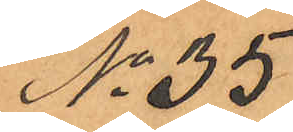No 35
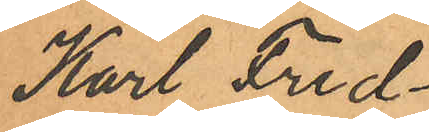Karl Fred¬
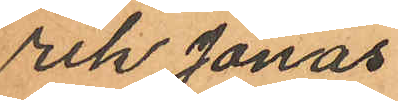rik Jonas
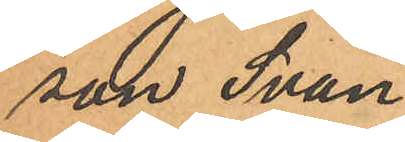son Svan¬
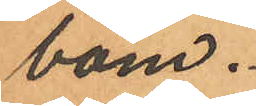bom.
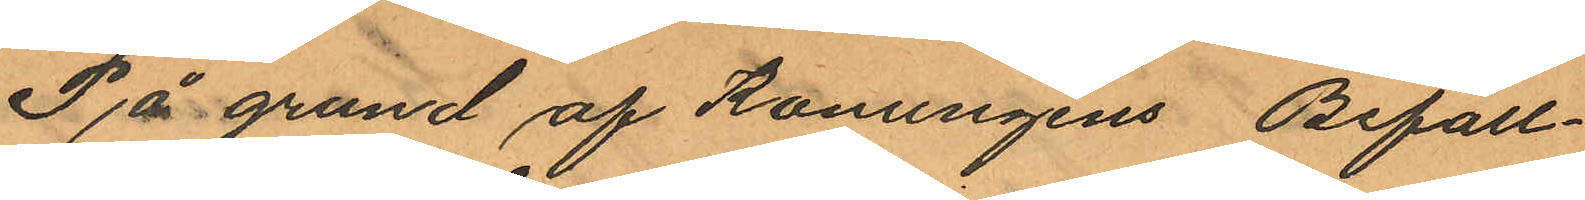På grund af Konungens Befall¬
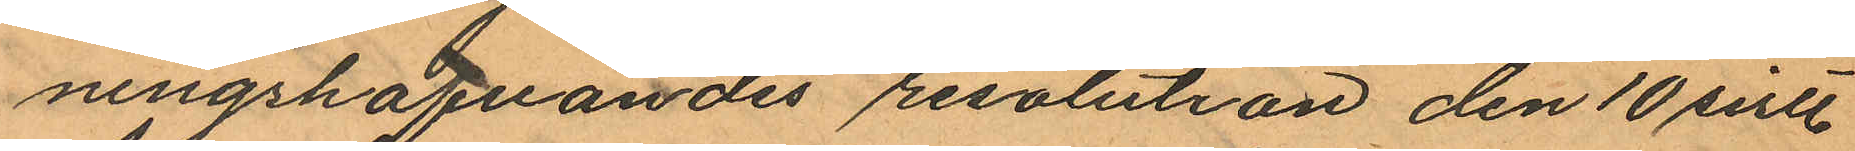ningshafvandes resolution den 10 sistl.
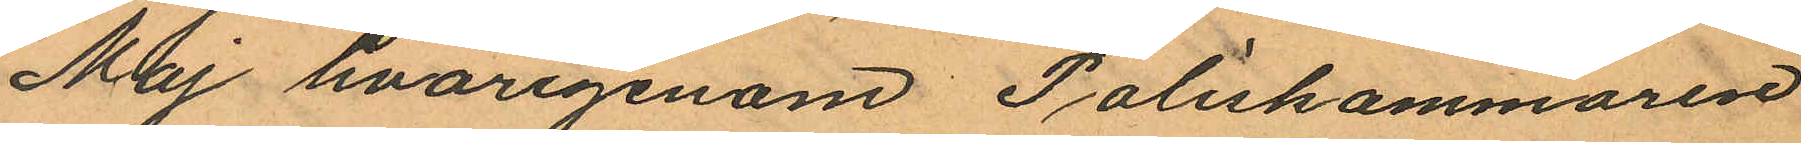Maj hvarigenom Poliskammaren
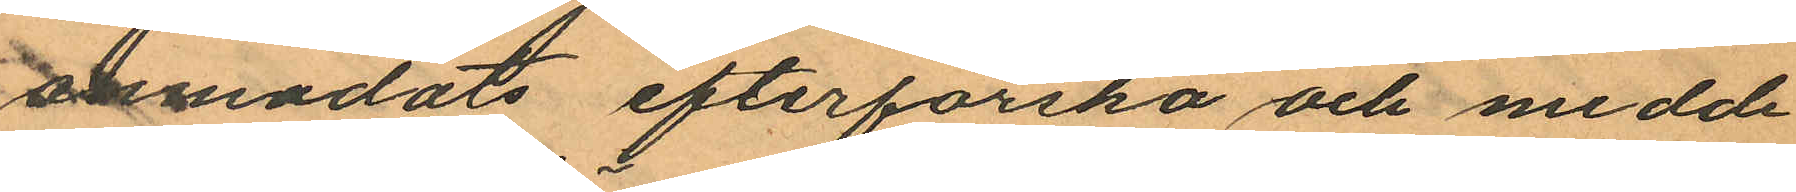anmodats efterforska och medde¬
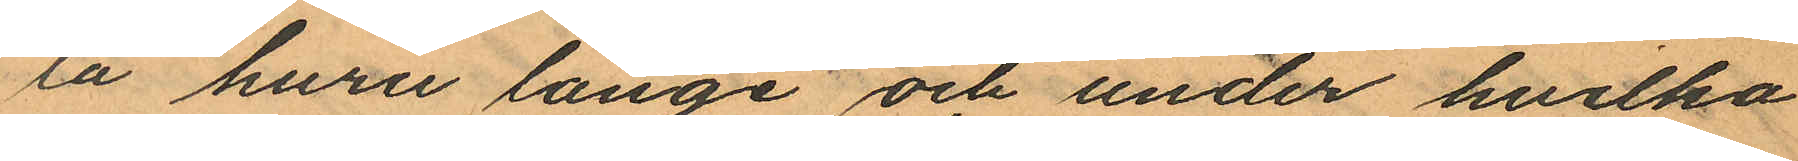la huru länge och under hvilka
